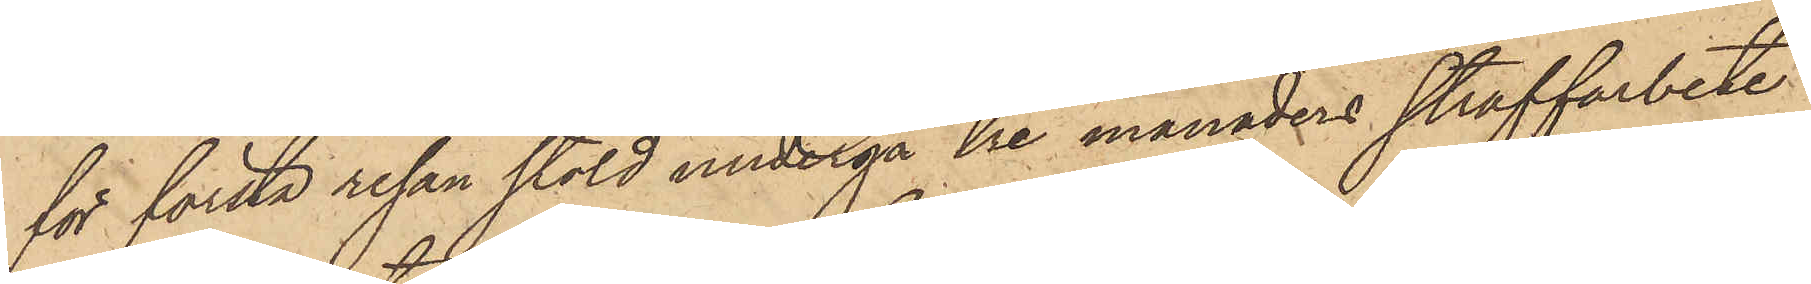för första resan stöld undergå tre månaders straffarbete
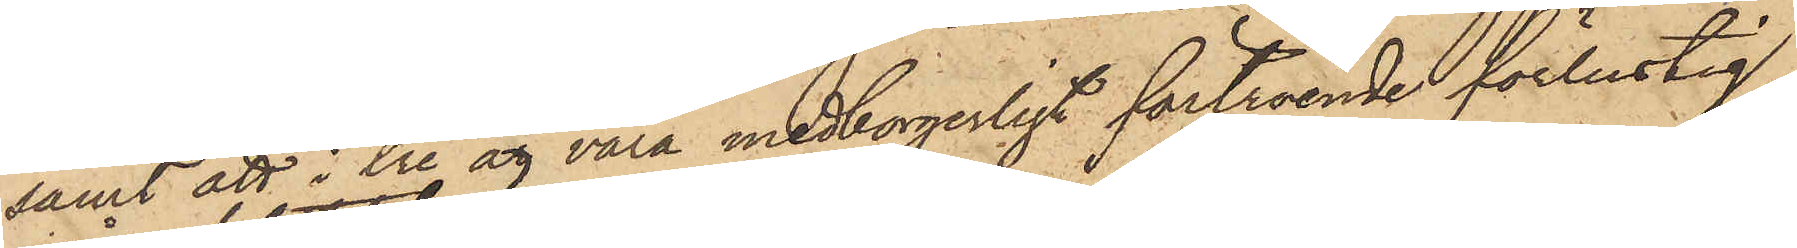samt att i tre år vara medborgerligt förtroende förlustig,
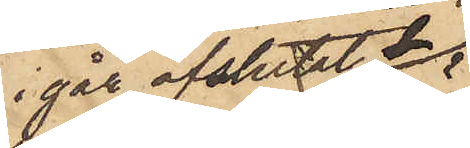igår afslutat det
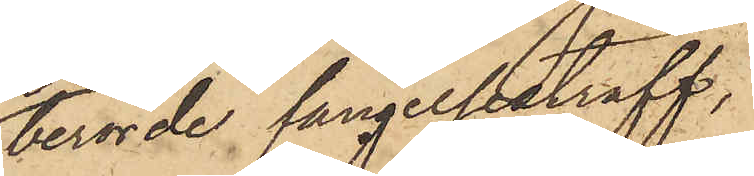berörde fängelsestraff,
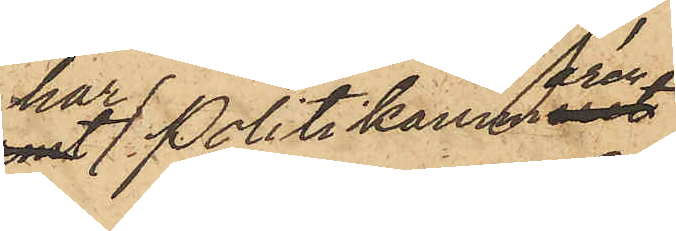har Politikammaren
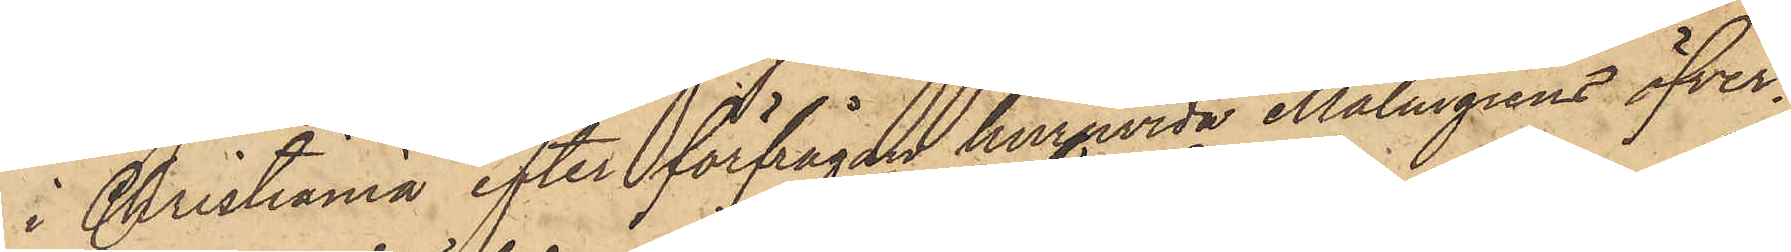i Christiania efter förfrågan huruvida Malmgrens öfver¬
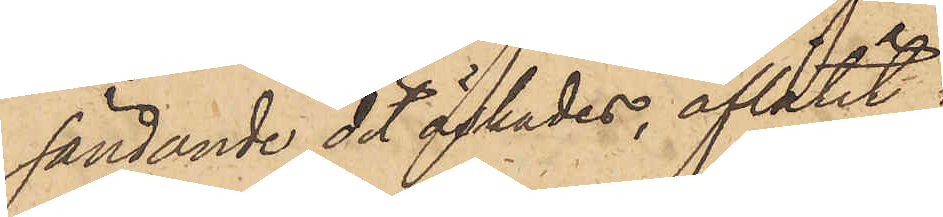sändande dit önskades, aflåtit
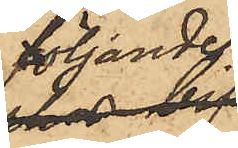följande
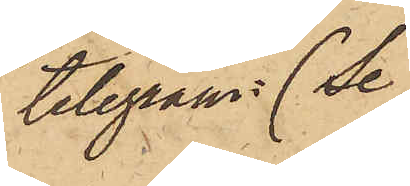telegram (se
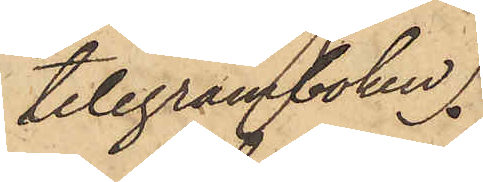telegramboken).
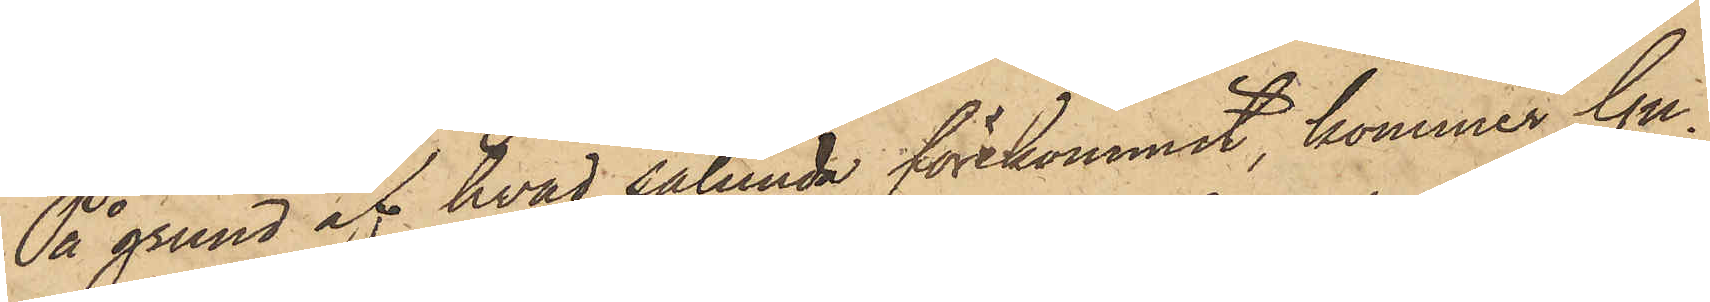På grund af hvad sålunda förekommit, kommer Gu¬
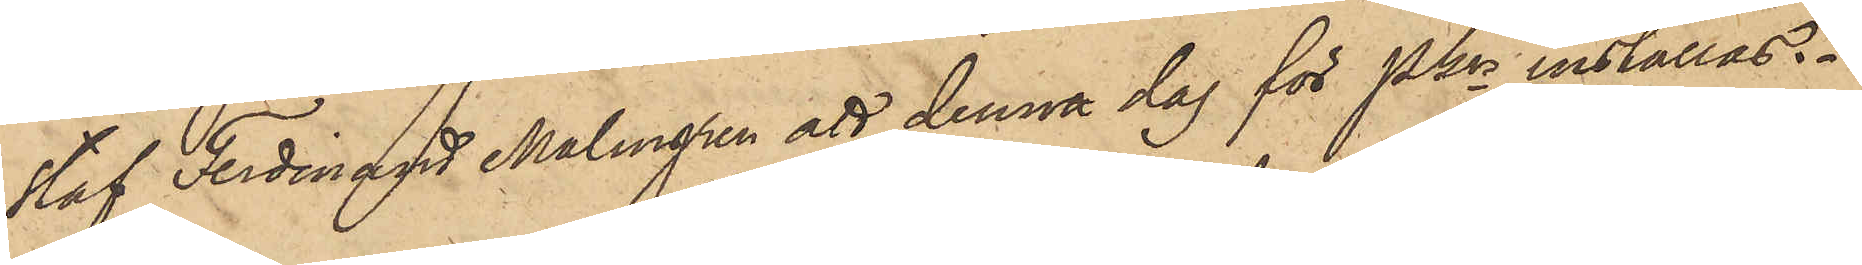staf Ferdinand Malmgren att denna dag för Pkn inställas.
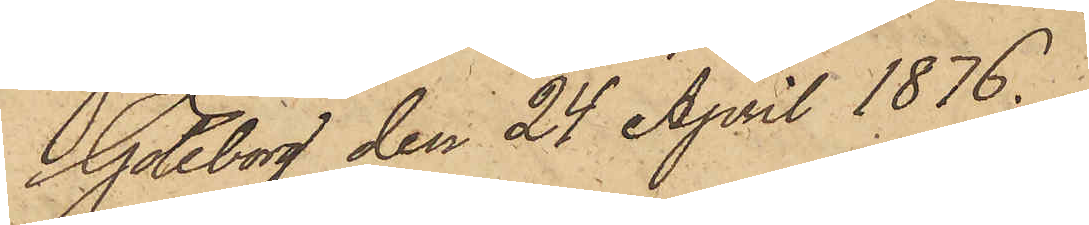Göteborg den 24 April 1876.
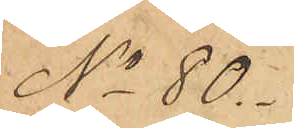No 80.
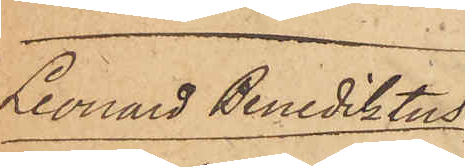Leonard  Benediktus
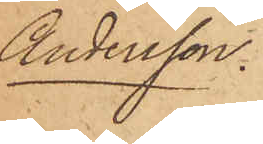Andersson.
